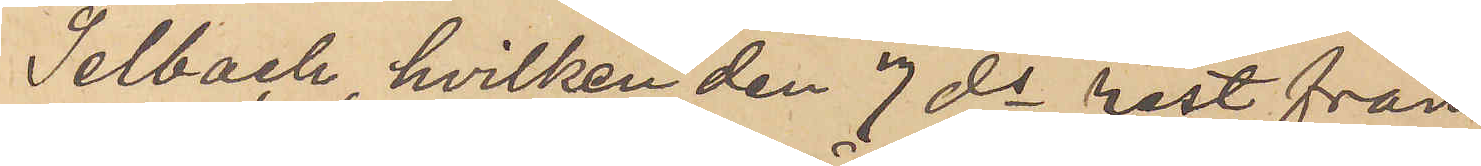Selbach, hvilken den 7 ds rest från
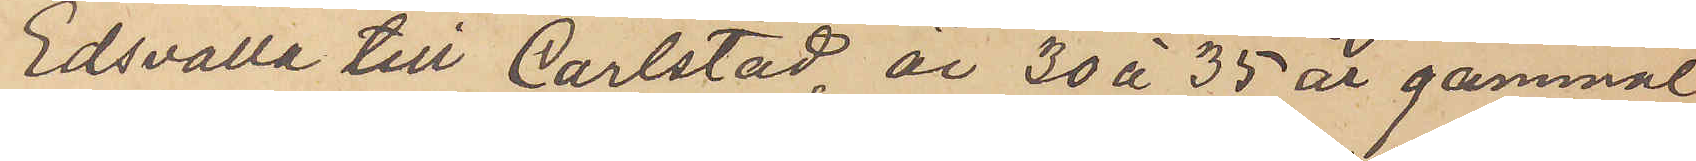Edsvalla till Carlstad, är 30 à 35 år gammal,
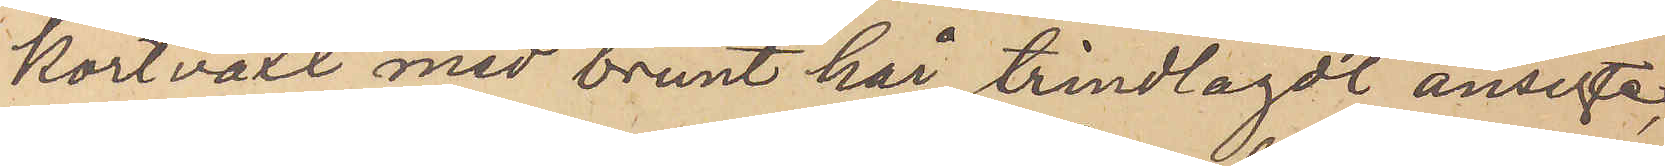kortväxt med brunt hår, trindlagdt ansigte,
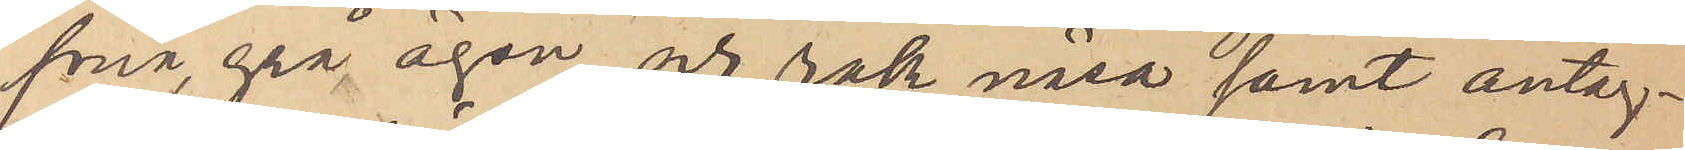små, grå ögon och rak näsa samt antag¬
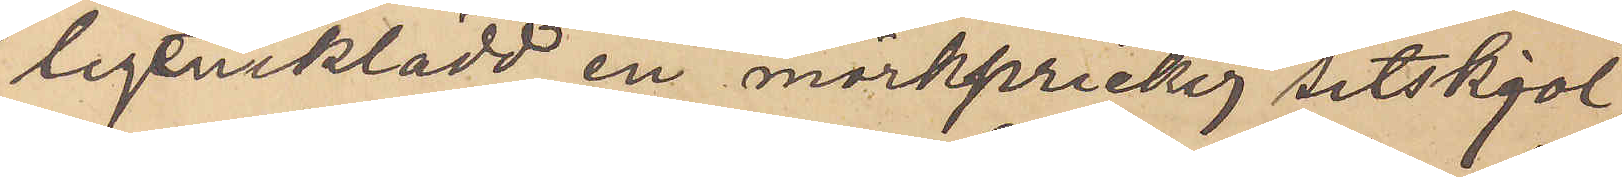ligen iklädd en mörkprickig sitskjol,
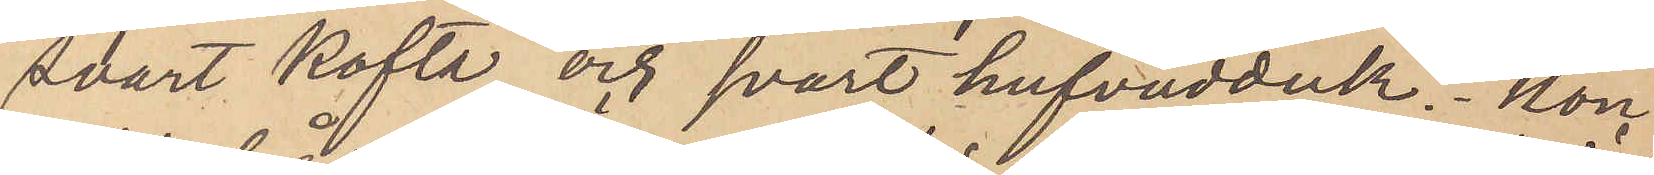svart kofta och svart hufvudduk. Hon
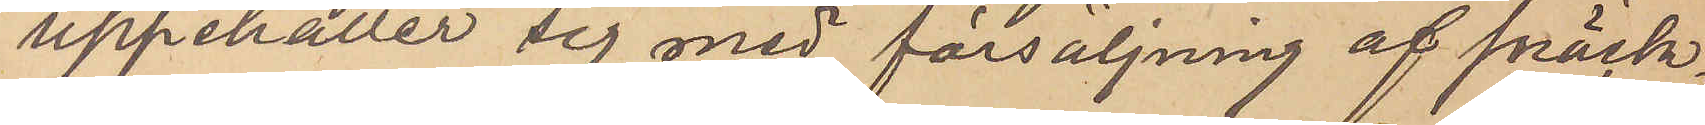uppehåller sig med försäljning af snäck¬
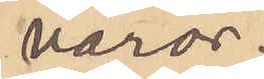varor.
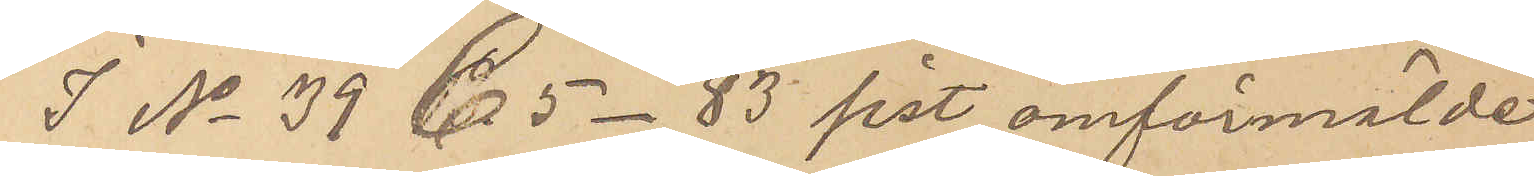I No 39 C 5 - 83 sist omförmälde
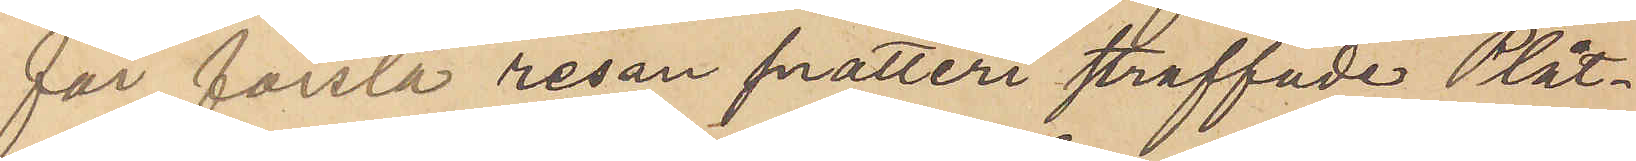för första resan snatteri straffade Plåt¬
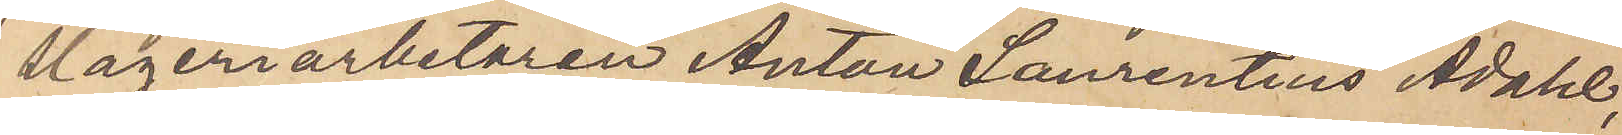slageriarbetaren Anton Sanrentius Ådahl,
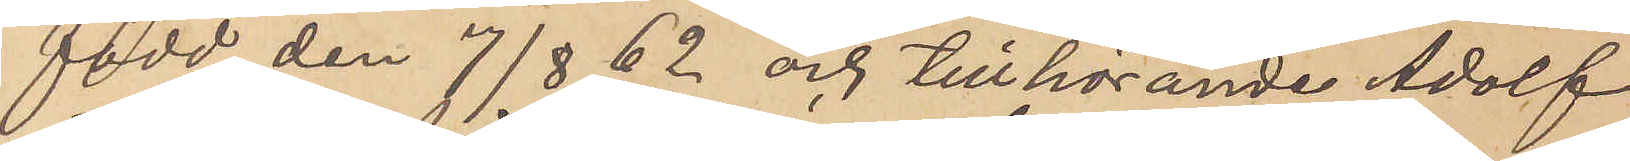född den 7/8 62 och tillhörande Adolf
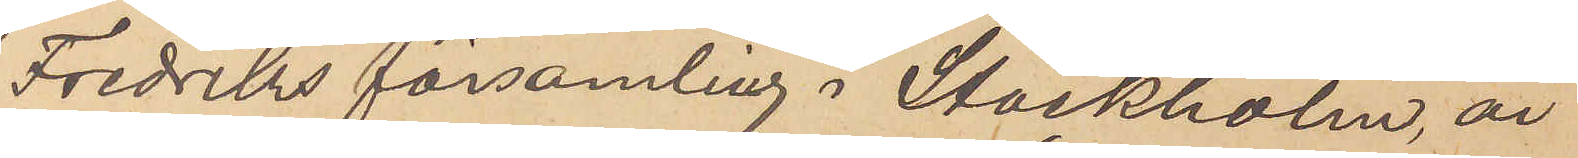Fredriks församling i Stockholm, är
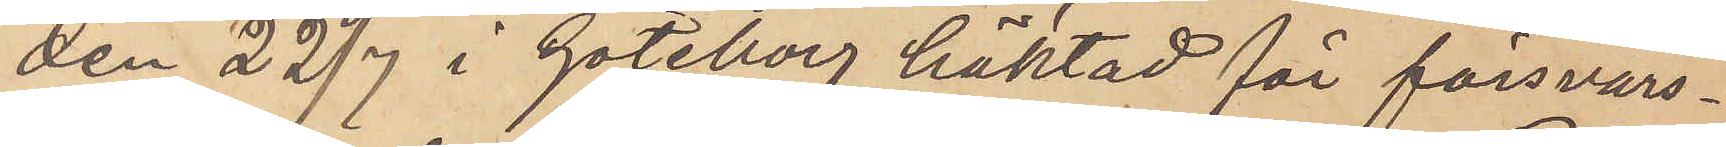den 22/7 i Göteborg häktad för försvars¬
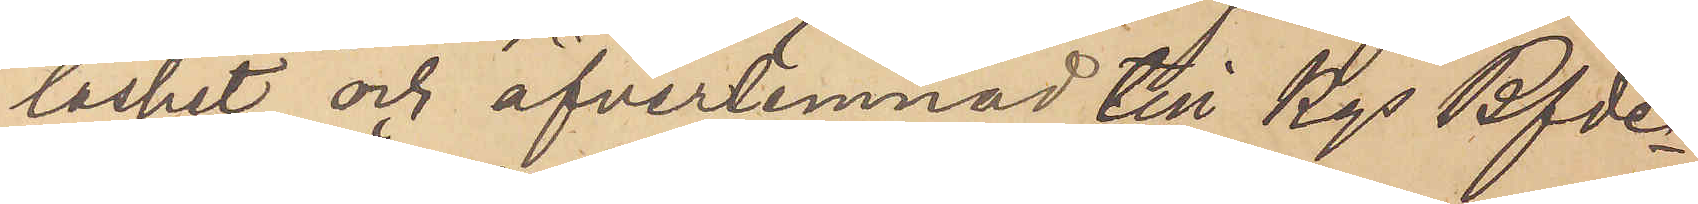löshet och öfverlemnad till Kgs Bfde
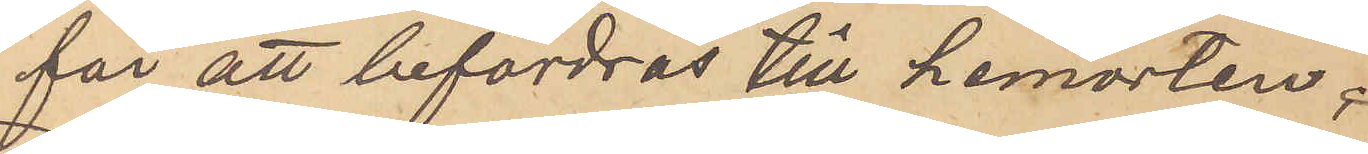för att befordras till hemorten;
